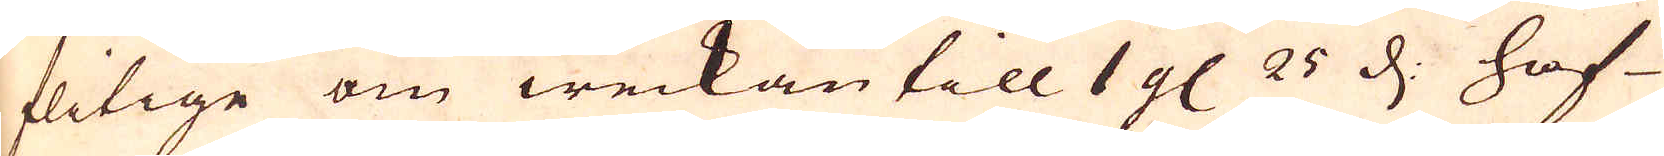flitige om weckan till 1 gl. 25 d: haf-
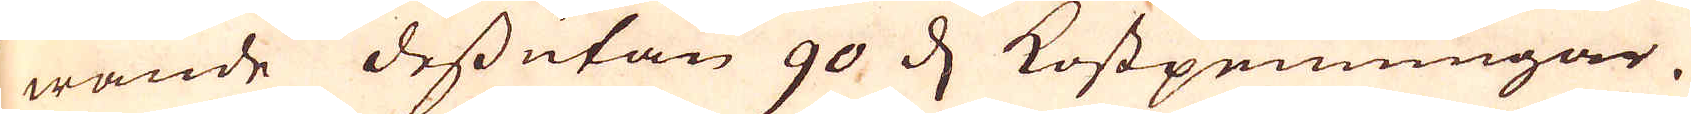wande dessutan 90 d Kostpenningar.
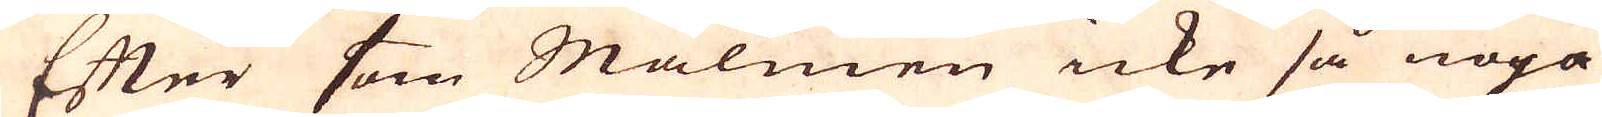Efter som Malmen icke så noga
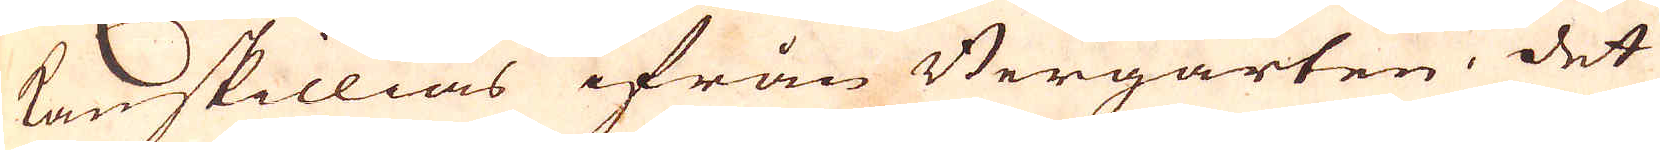kan skillias ifrån Bergarten. det
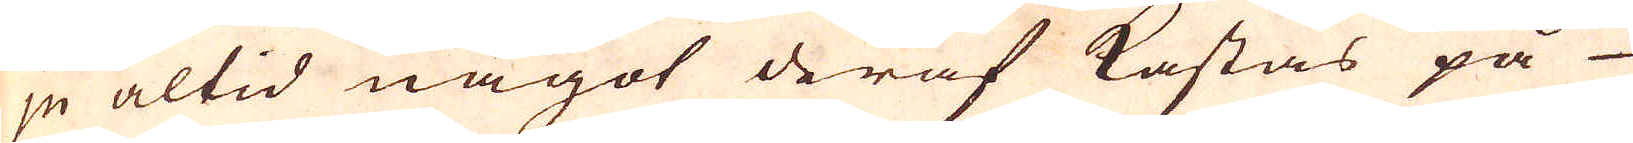ju altid något deraf kastas på
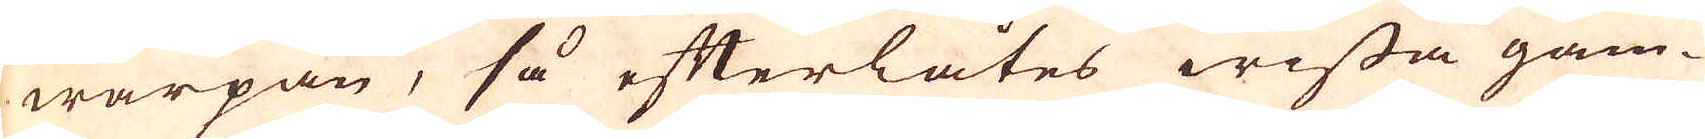warpan, så efterlåtes wissa gam-
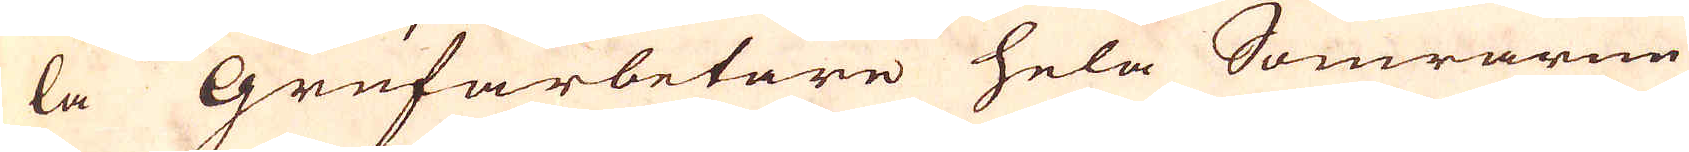la Grufarbetare hela Somrarne
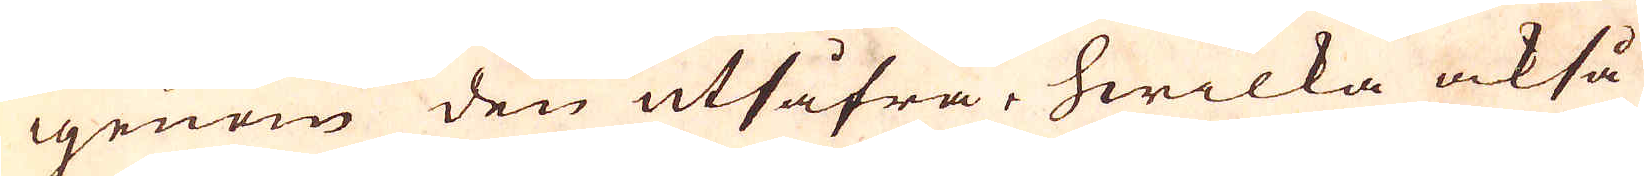igenom den utsåfra, hwilka också
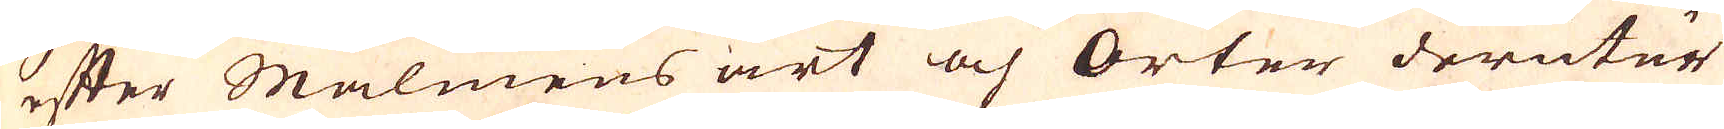efter Malmens art och orter derutur
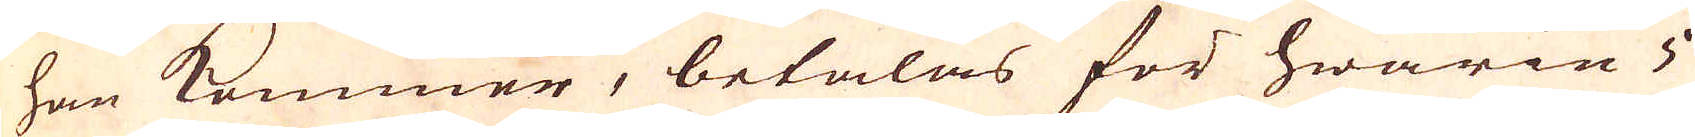han kommer, betalas för hwarie 5
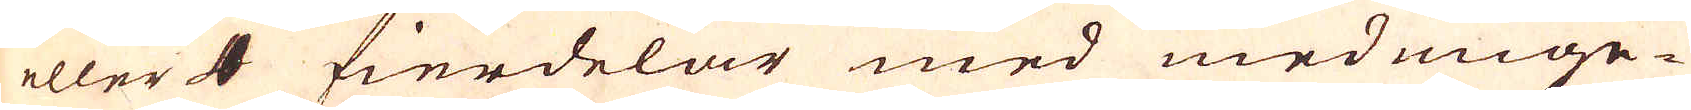eller 4 fierdelar med med unge-
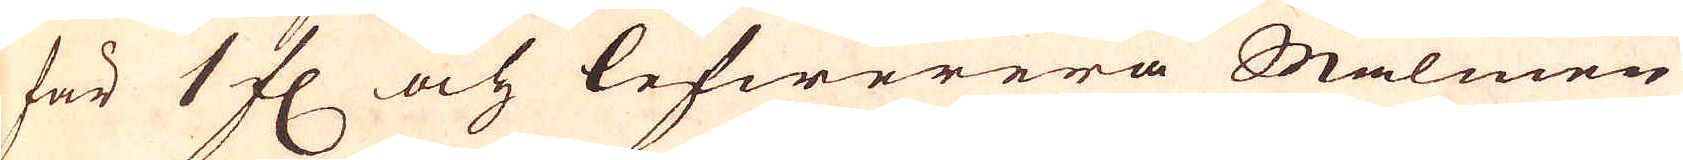fär 1 fl och lefwerera Malmen
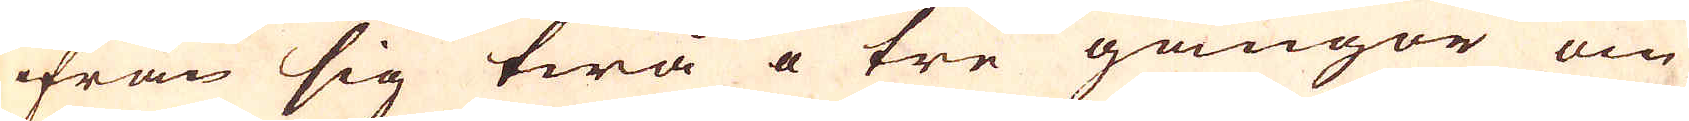ifrån sig twå å tre gångor om
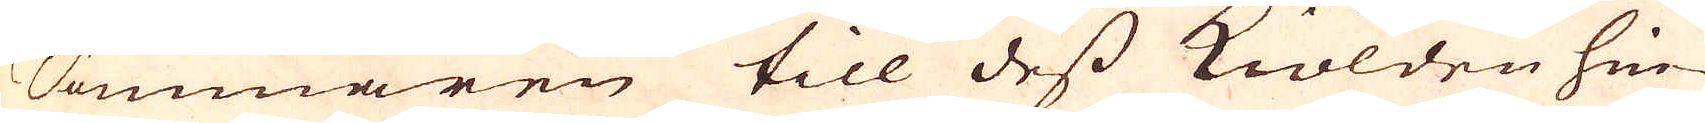Sommaren till dess kiölden hin-
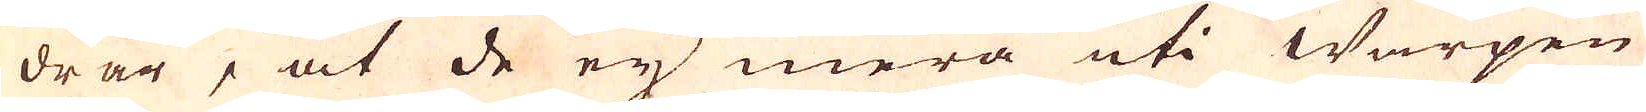drar, at de ej mera uti Warpen
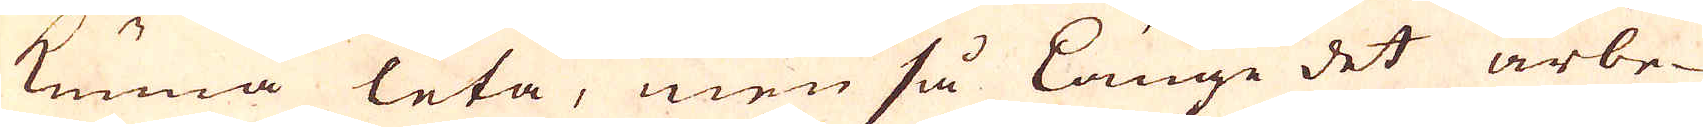kunna leta, men så länge det arbe-
